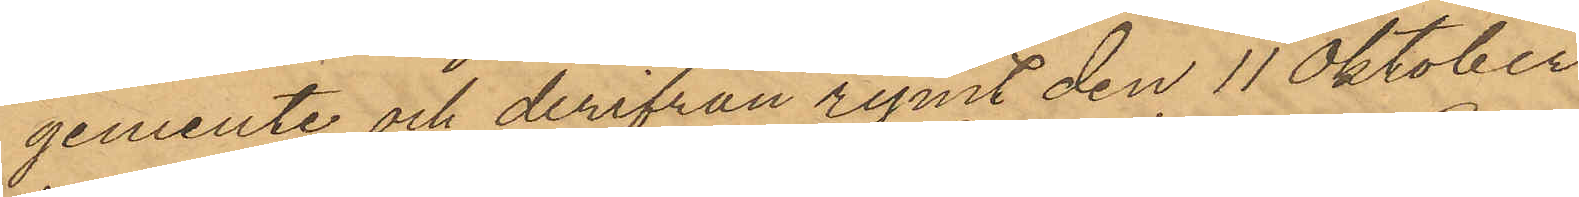gemente och derifrån rymt den 11 Oktober
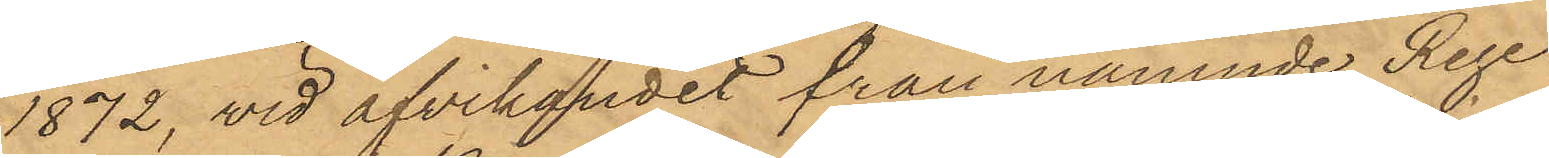1872, vid afvikandet från nämnde Rege¬
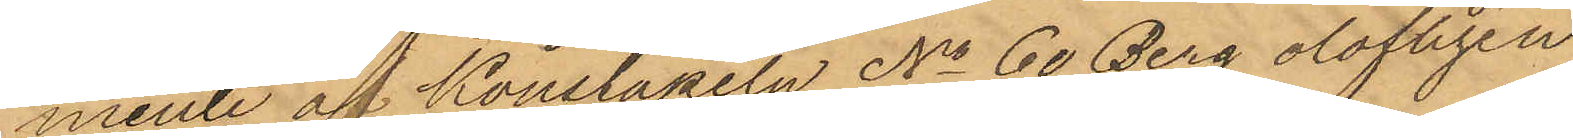mente af Konstapeln No 60 Berg olofligen
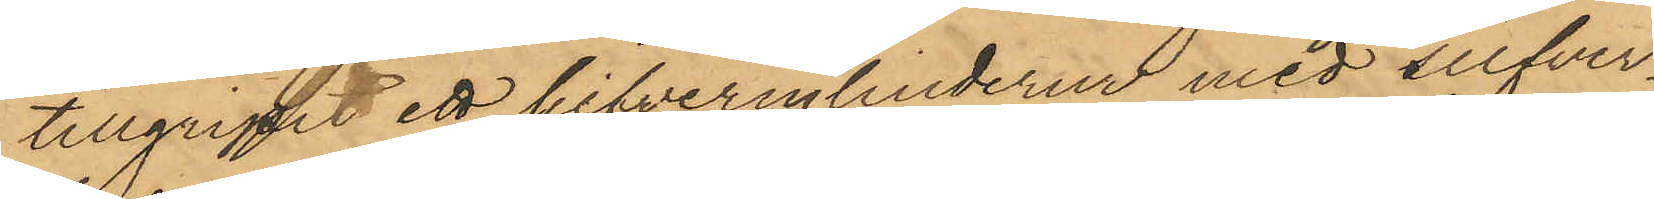tillgripit ett silfvercylinderur med silfver¬
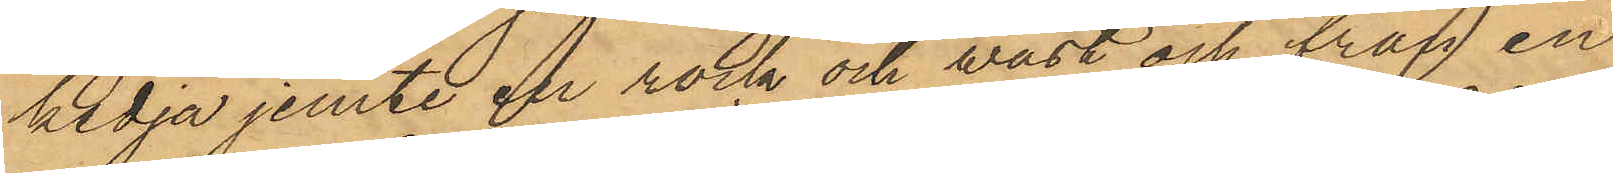kedja jemte en rock och väst och från en
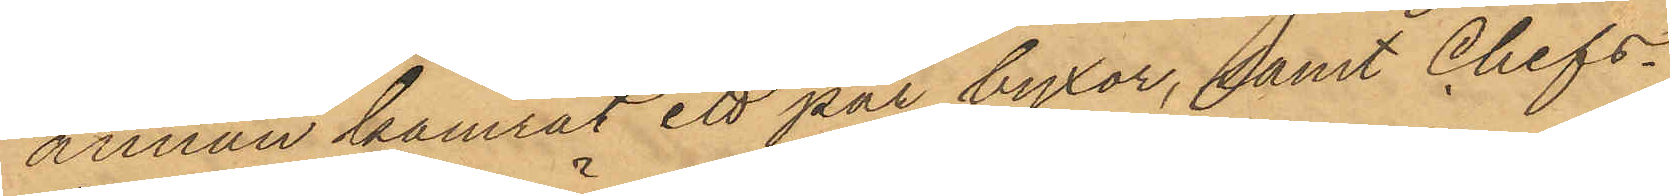annan kamrat ett par byxor, samt Chefs¬
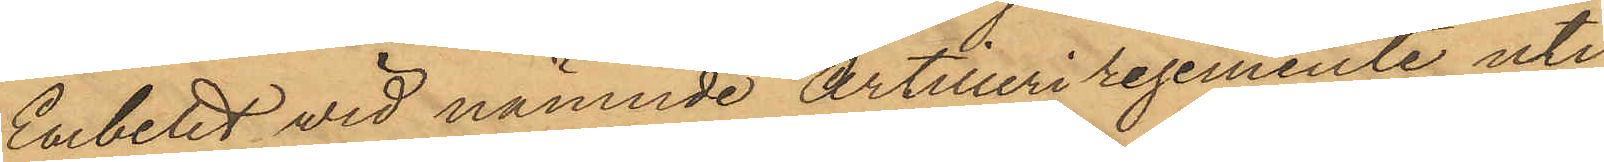Embetet vid nämnde Artilleriregemente uti
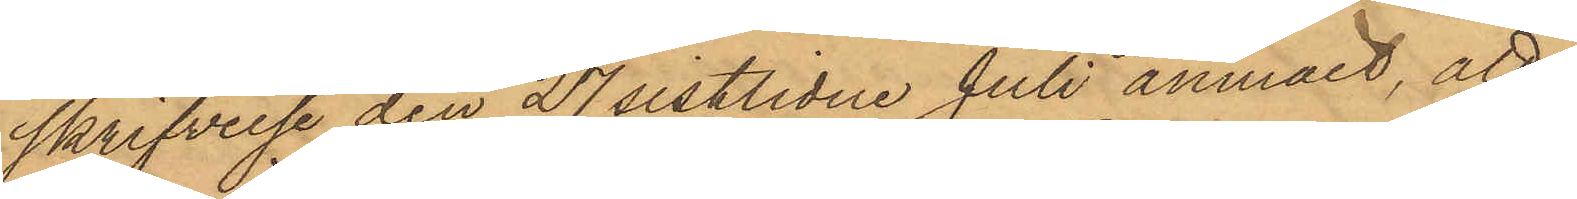skrifvelse den 27 sistlidne Juli anmält, att
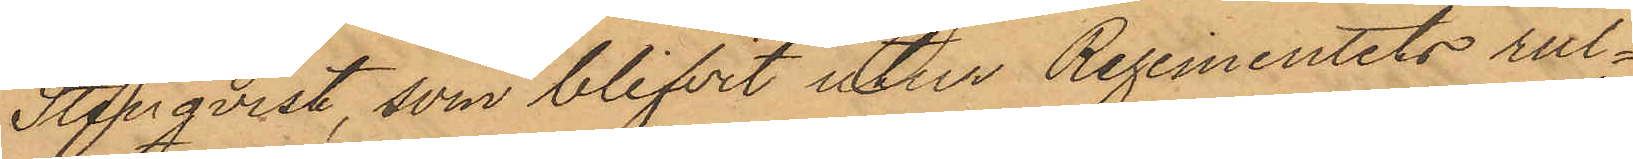Stenqvist, som blifvit utur Regementets rul¬
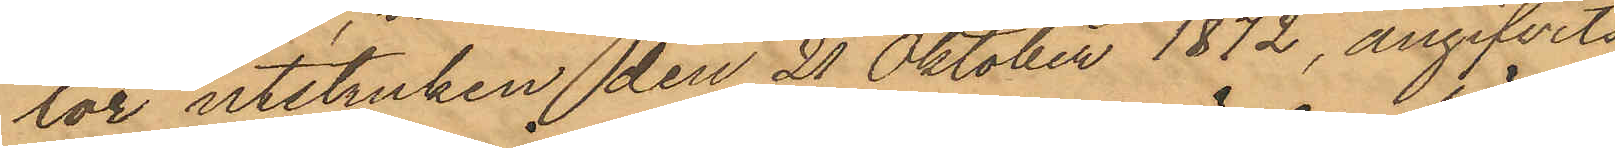lor utstruken den 21 Oktober 1872, angifvits
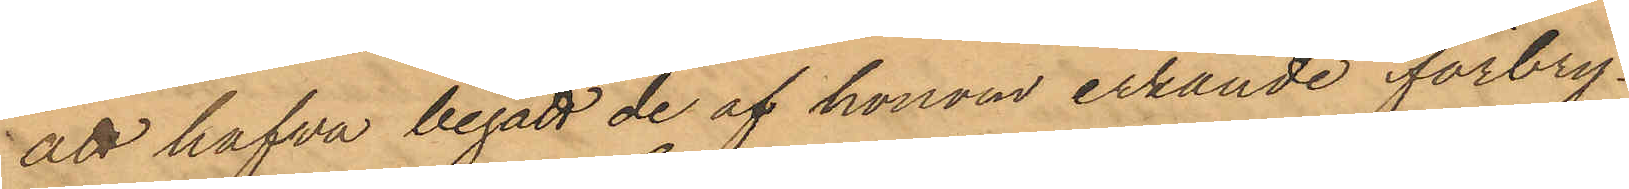att hafva begått de af honom erkände förbry¬
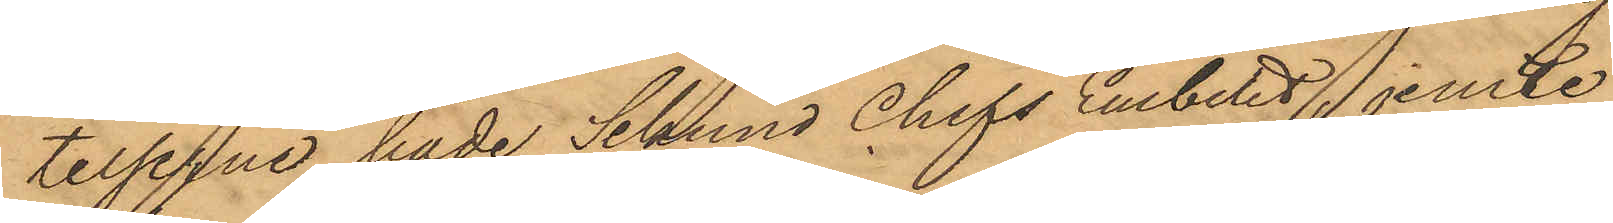telserna, hade Sekund Chefs Embetet, jemte
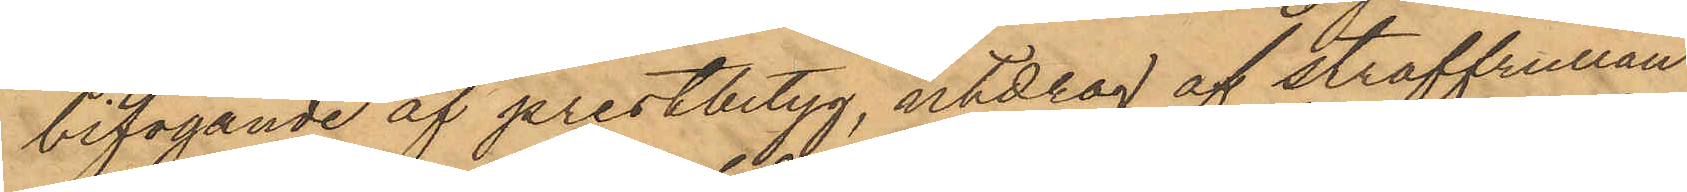bifogande af prestbetyg, utdrag af straffrullan
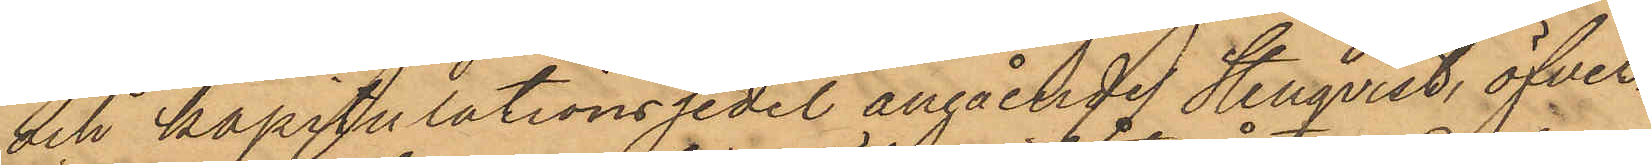och kapitulationssedel angåendes Stenqvist, öfver¬
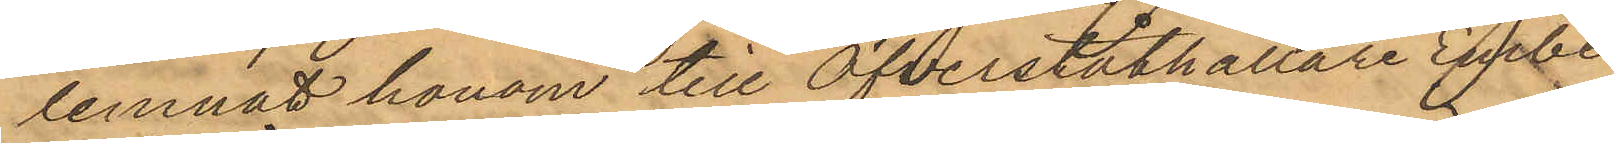lemnat honom till Öfverståthållare Embe¬
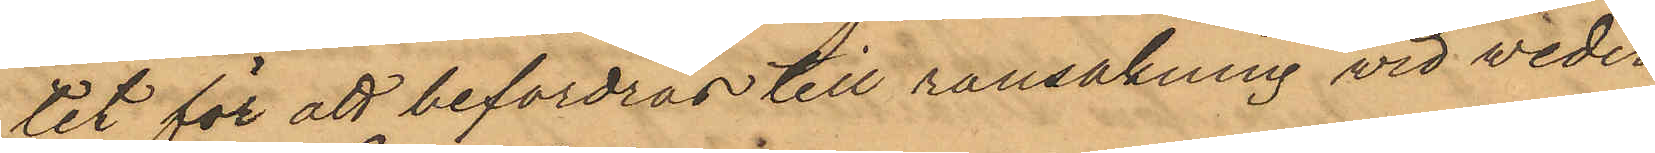tet för att befordras till ransakning vid veder¬
